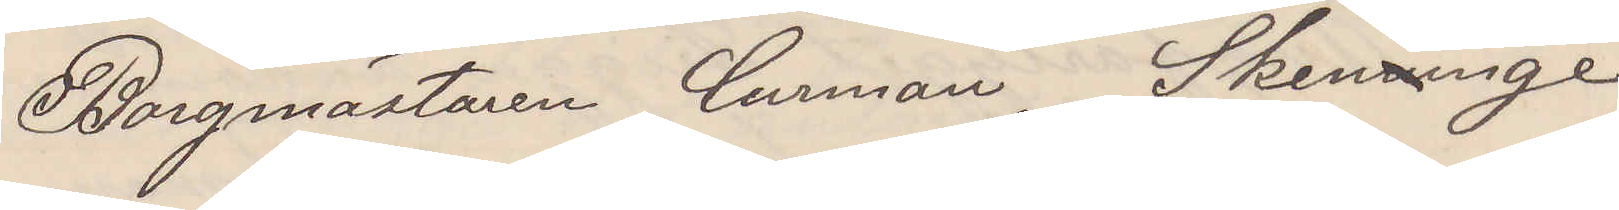Borgmästaren Curman. Skenninge
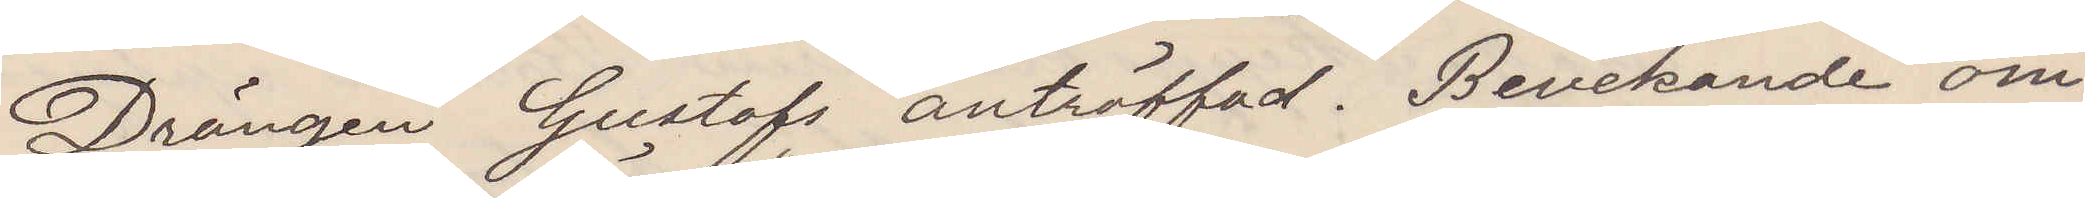Drängen Gustaf anträffad. Bevekande om¬
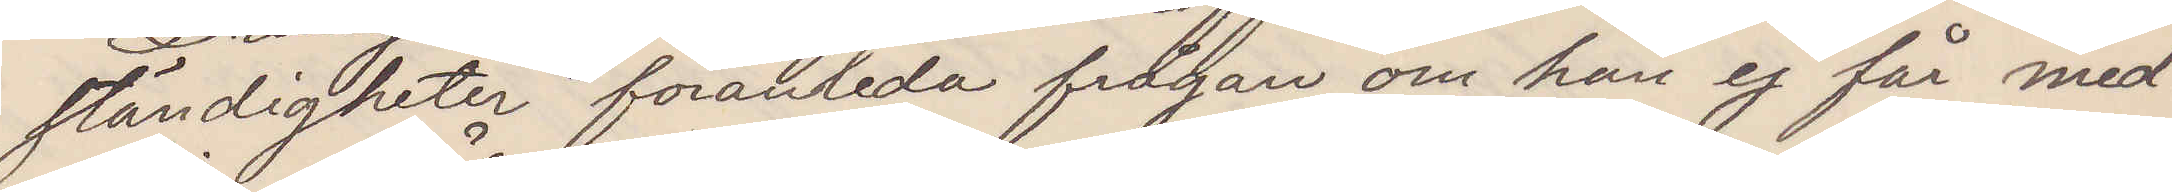ständigheter föranleda frågan om han ej får med¬
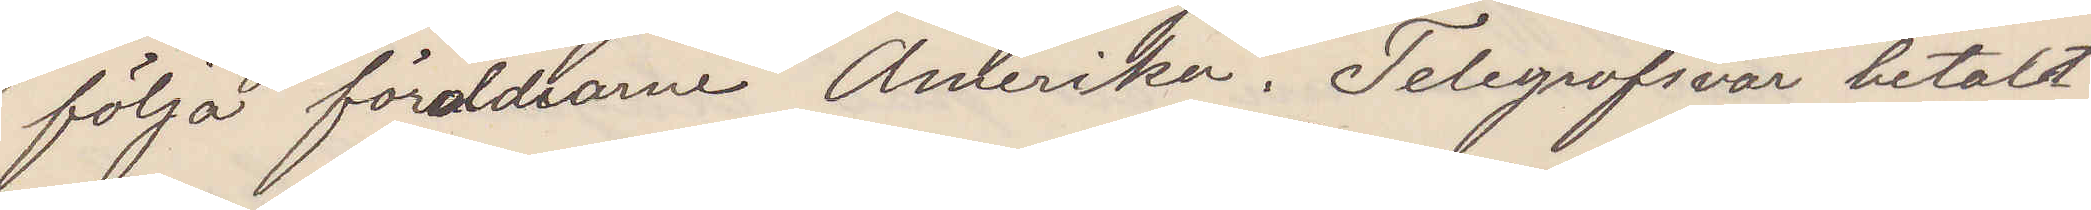följa föräldrarne Amerika. Telegrafsvar betaldt
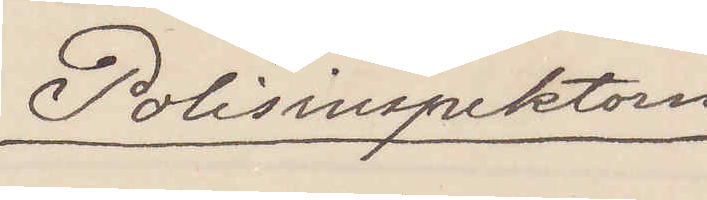Polisinspektorn
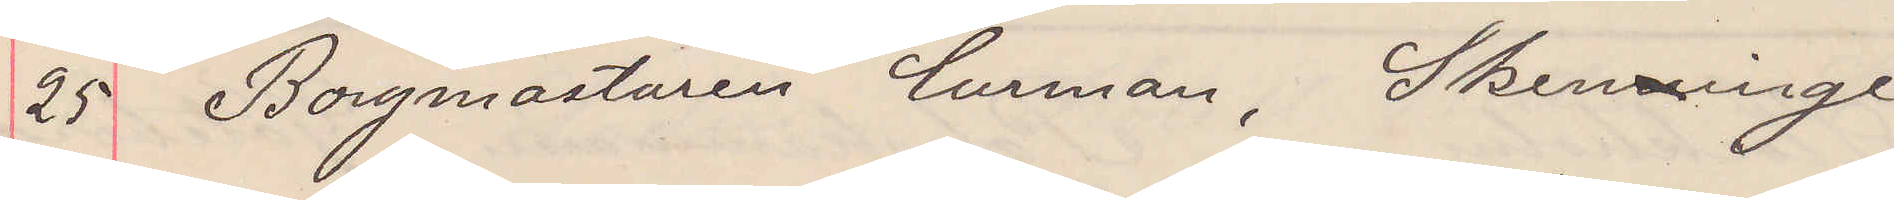25 Borgmästaren Curman. Skenninge
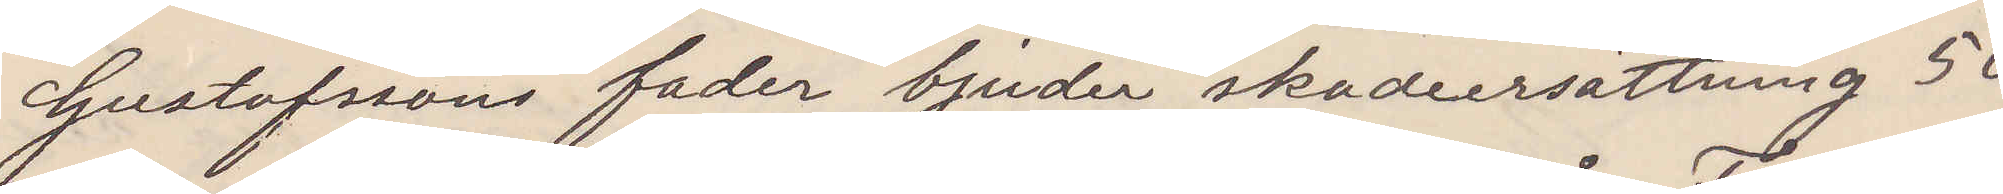Gustafssons fader bjuder skadeersättning 50
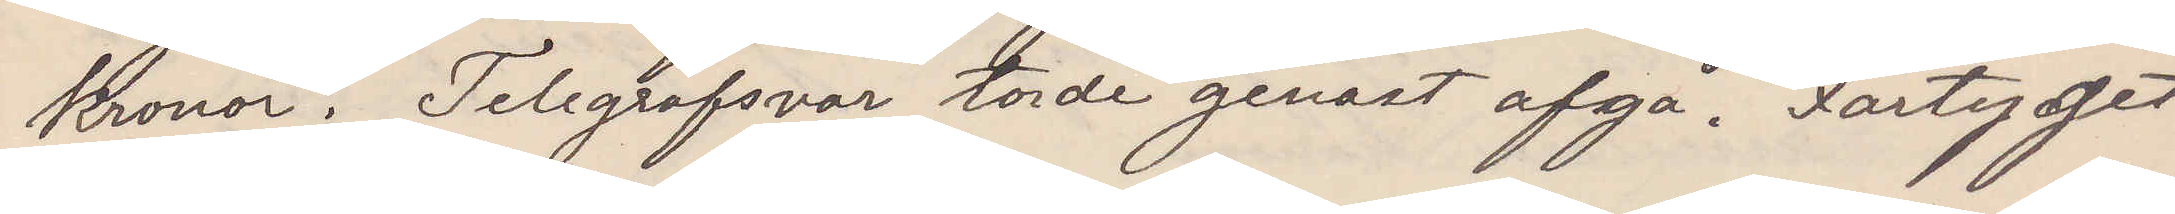kronor. Telegrafsvar torde genast afgå. Fartyget
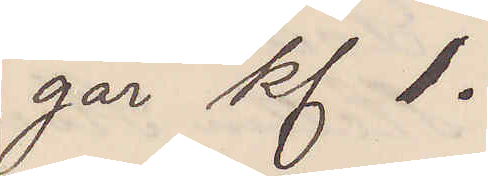går kl 1.
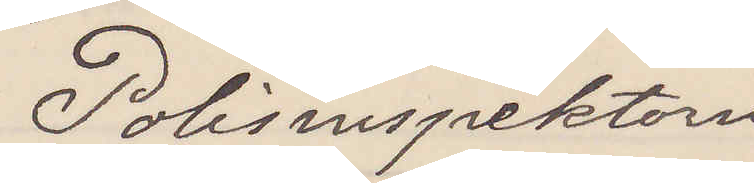Polisinspektorn
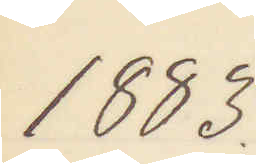1883.
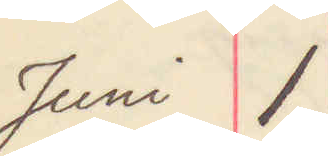Juni 1.
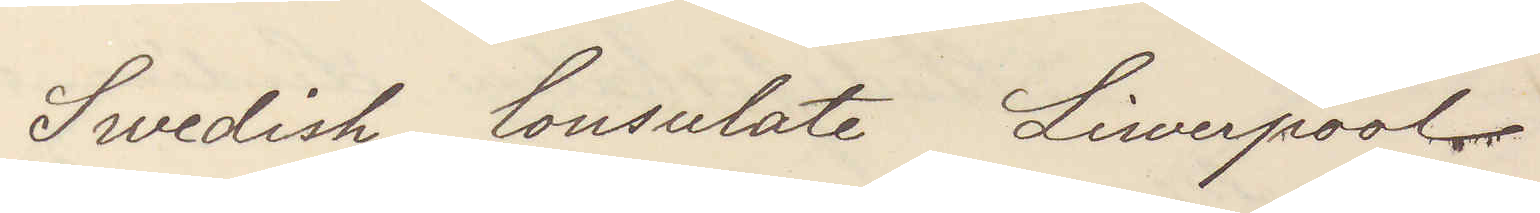Swedish Consulate Liverpool
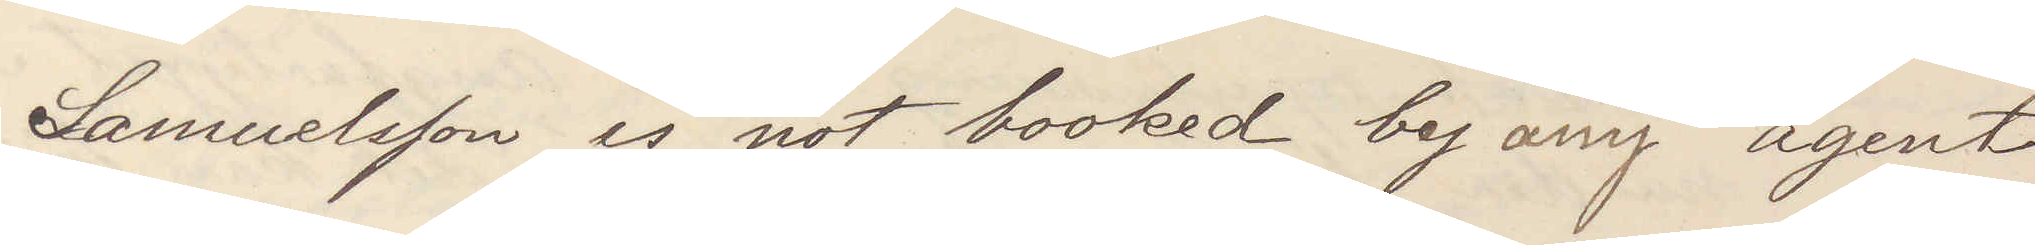Samuelsson is not booked by any agent
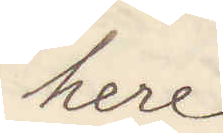here
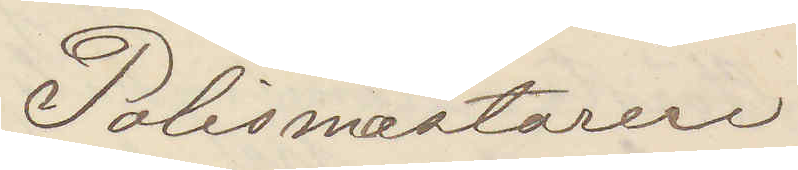Polismästaren
